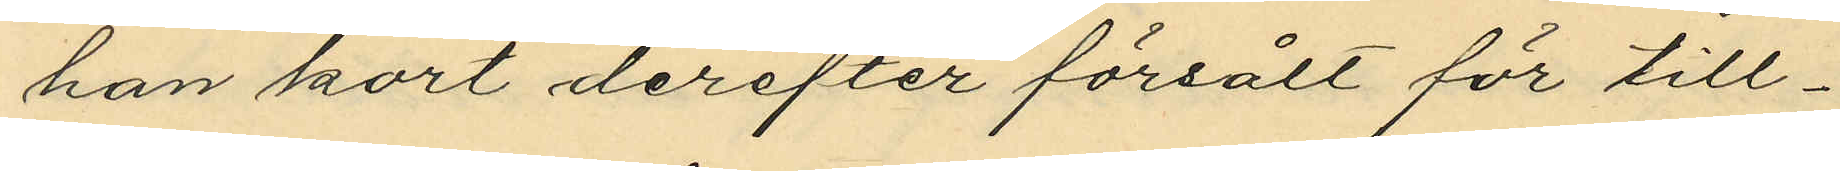han kort derefter försålt för till¬
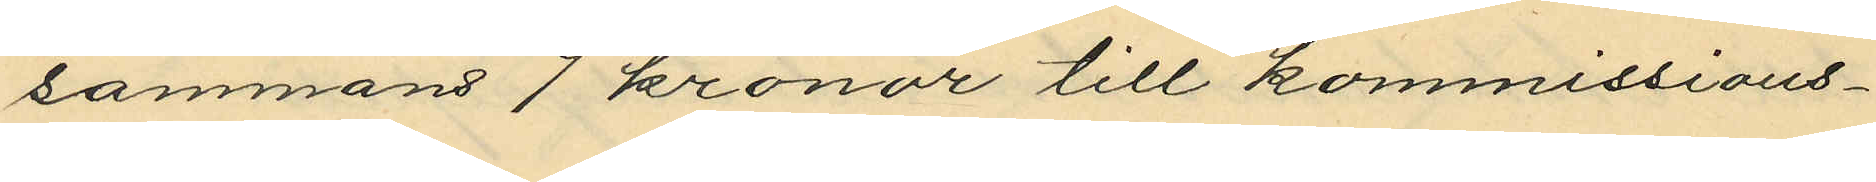sammans 7 kronor till kommissions¬
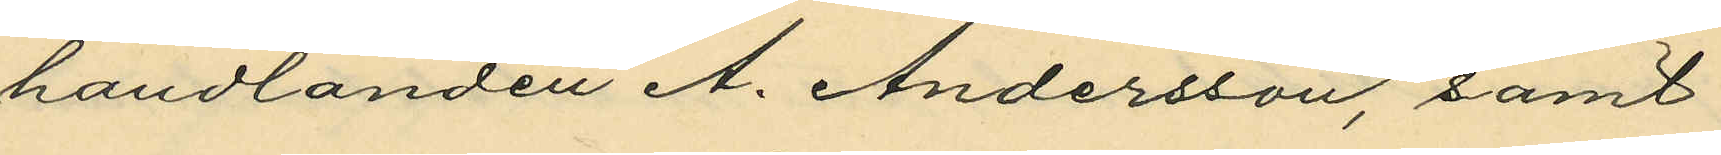handlanden A. Andersson, samt
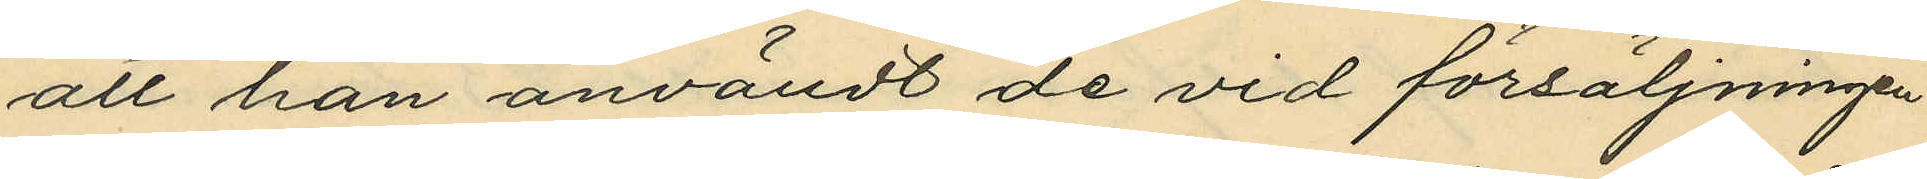att han användt de vid försäljningen
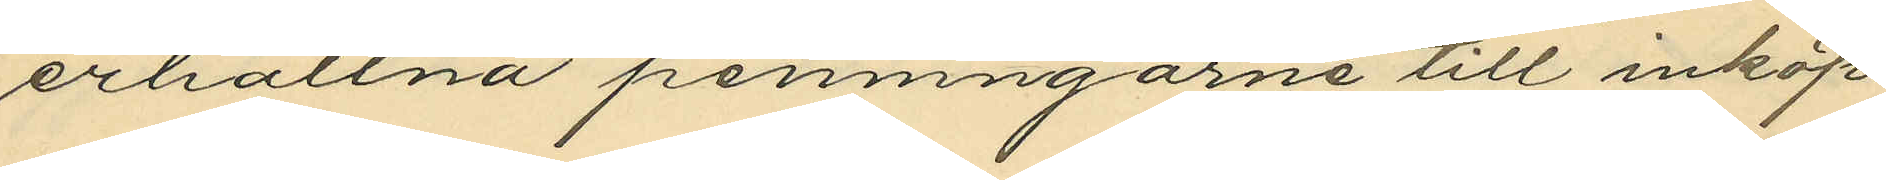erhållna penningarne till inköp
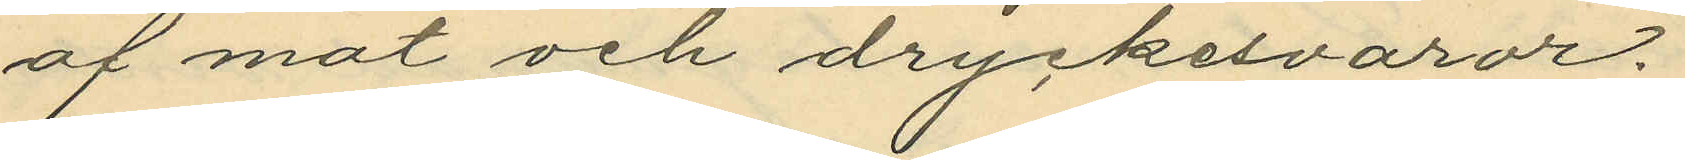af mat och dryckesvaror.
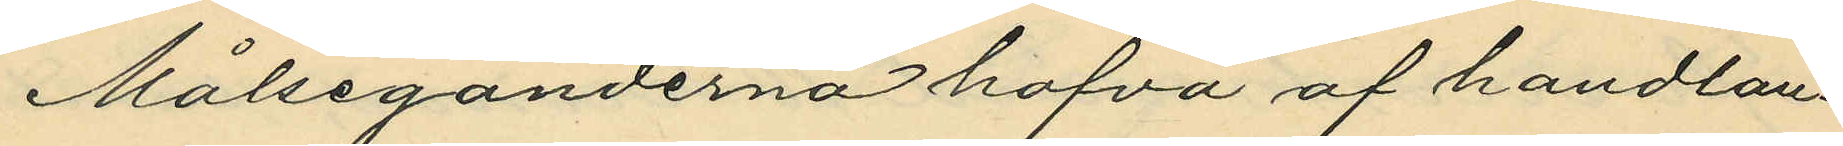Målseganderna hafva af handlan¬
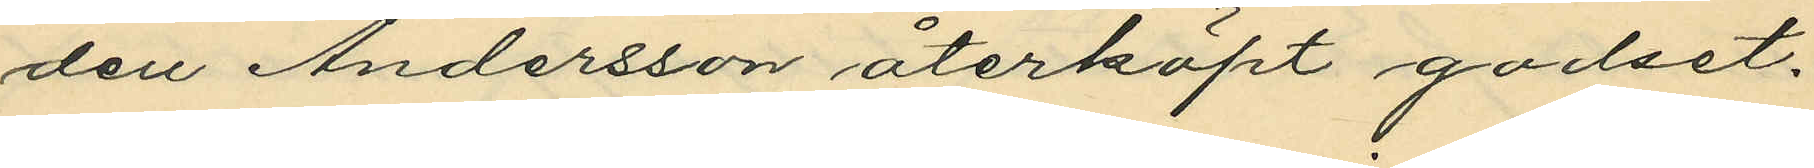den Andersson återköpt godset.
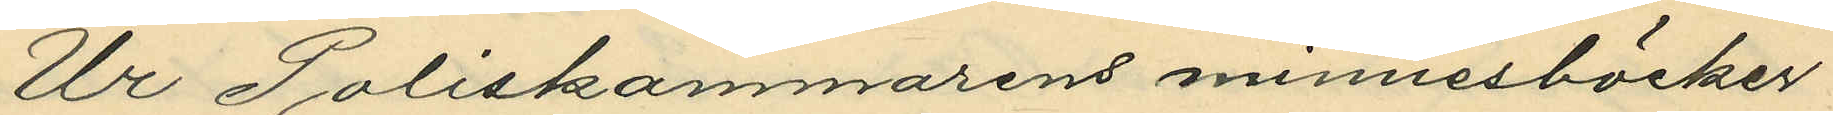Ur Poliskammarens minnesböcker
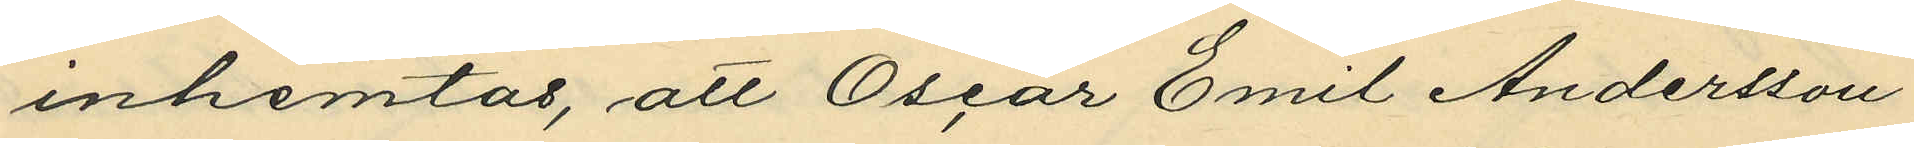inhemtas, att Oscar Emil Andersson
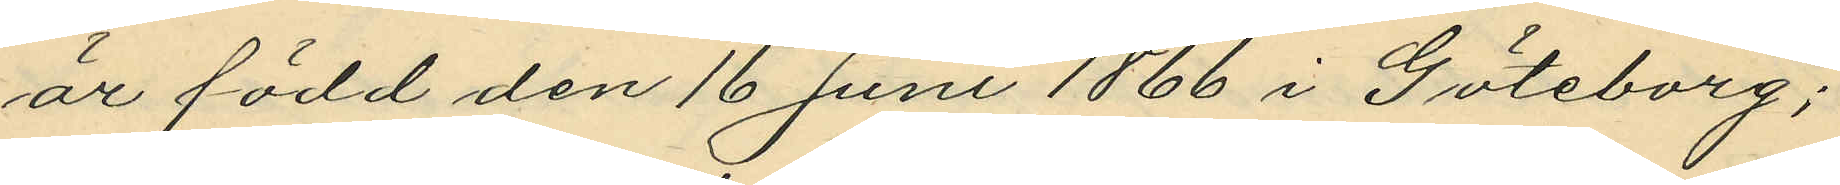är född den 16 Juni 1866 i Göteborg;
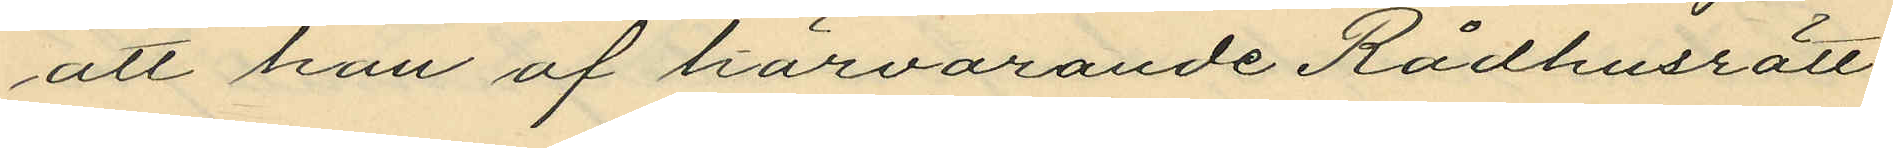att han af härvarande Rådhusrätt
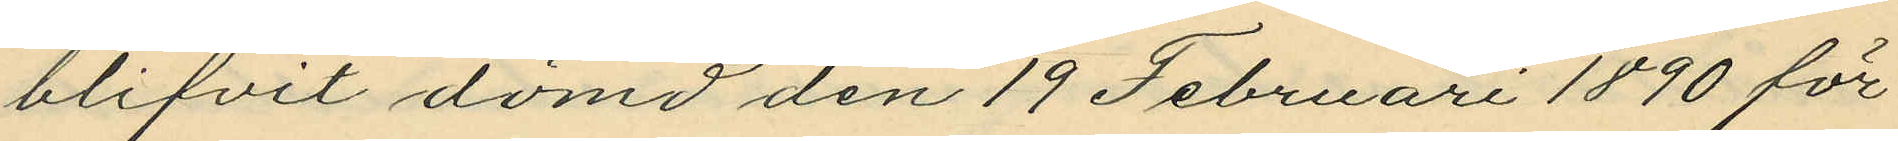blifvit dömd den 19 Februari 1890 för
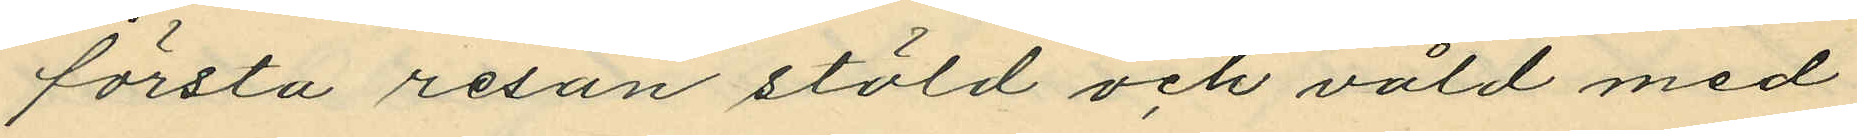första resan stöld och våld med
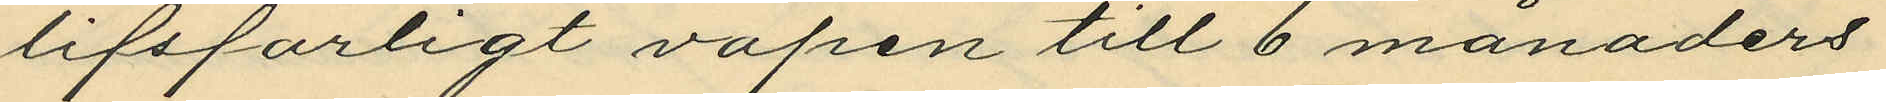lifsfarligt vapen till 6 månaders
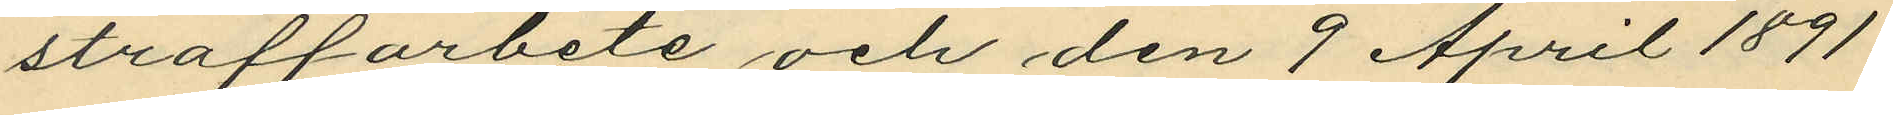straffarbete och den 9 April 1891
